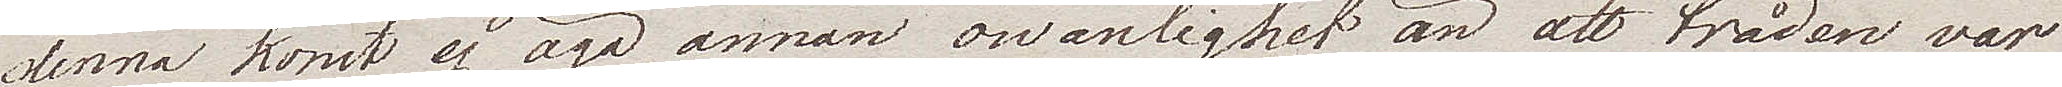denna konst ej äga annan owanlighet än att tråden var
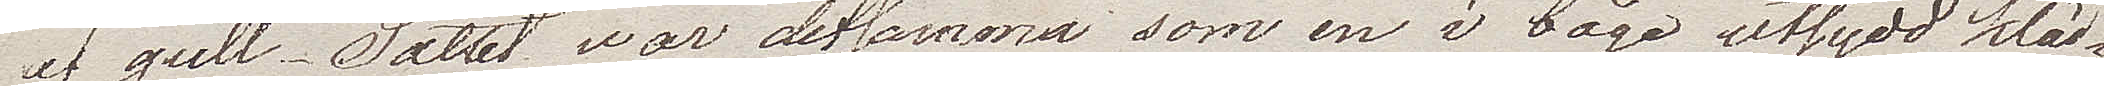af gull. Sättet war detsamma som en i båge utsydd kläd¬
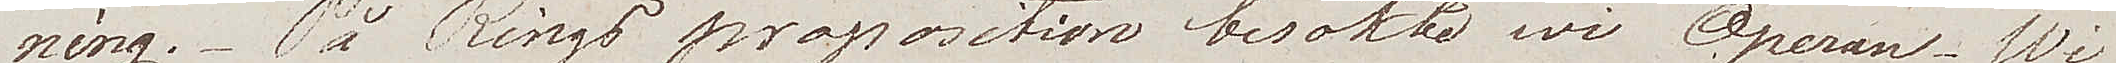ning. På Rings propostion besökte wi Operan. Wi
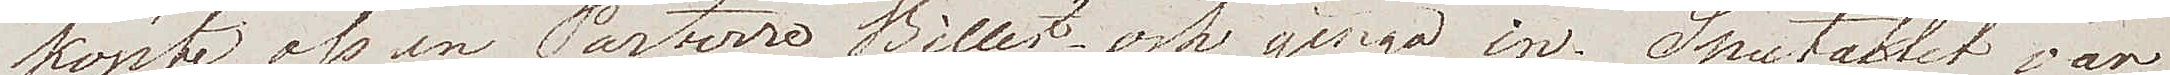köpte oss en Parterre Billet och gingo in. Spektaklet var
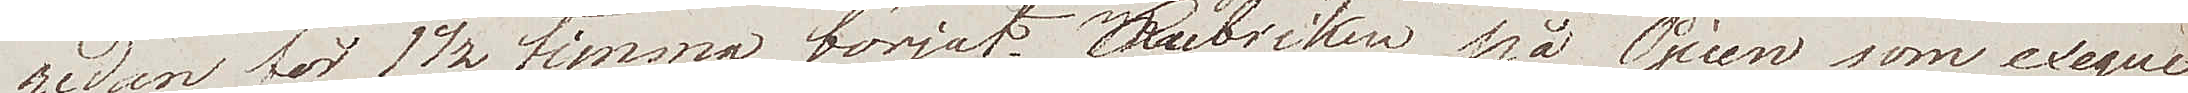redan för 1 1/2 timma börjat. Rubriken på Pjecen som exeque¬
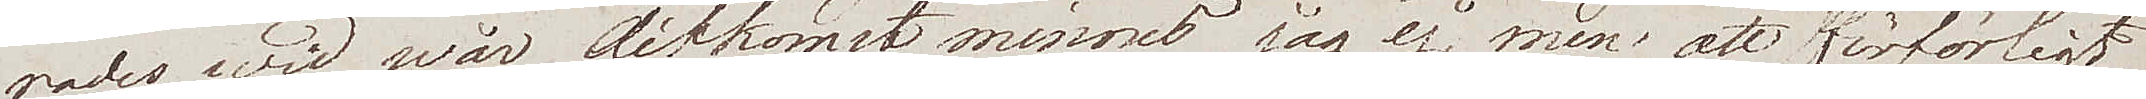rades wid wår ditkomst minnes jag ej, men att den förförligt
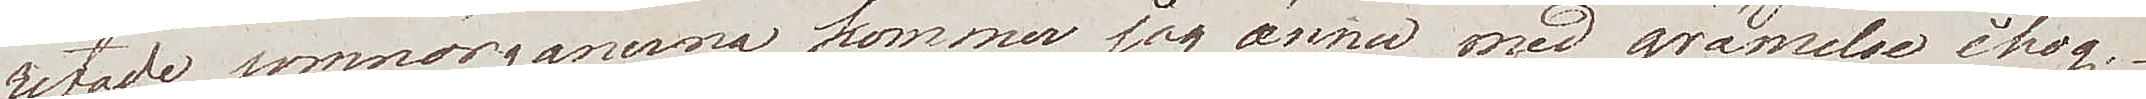retade sinneörganerna kommer jag ännu med grämelse ihog.
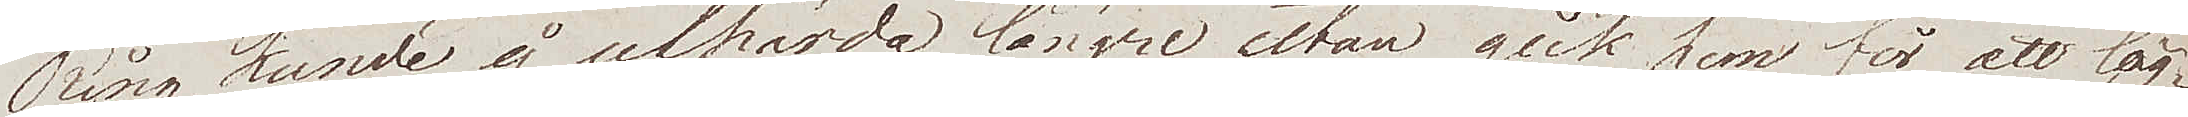Ring kunde ej uthärda längre utan gick hem för att läg¬
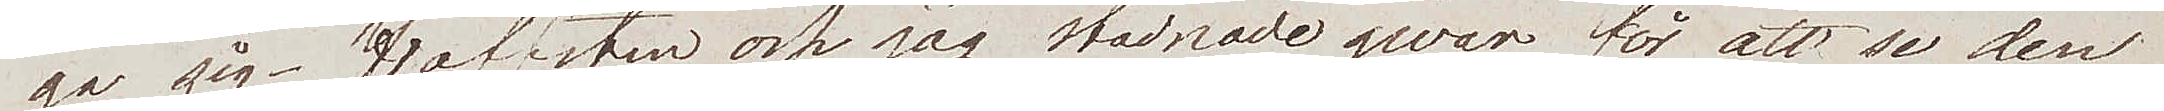ga sig. Hofsten och jag stadnade qwar för att se den
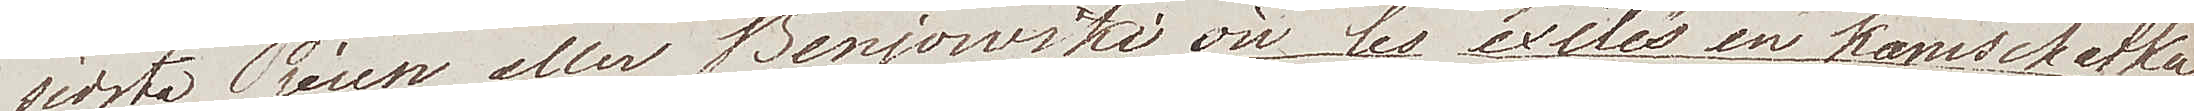sista Pjecen eller Benjowski où les exiles en Kamschatka
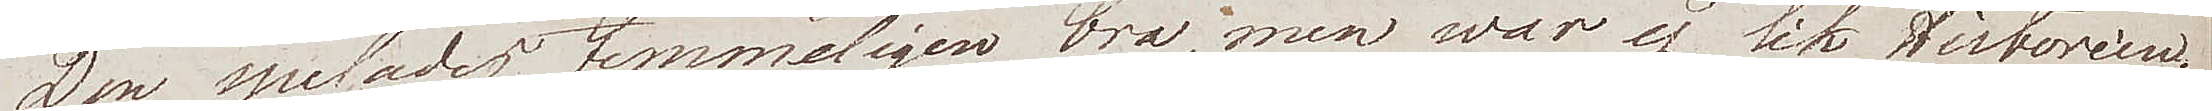Den spelades temmeligen bra, men war ej lik Historien.
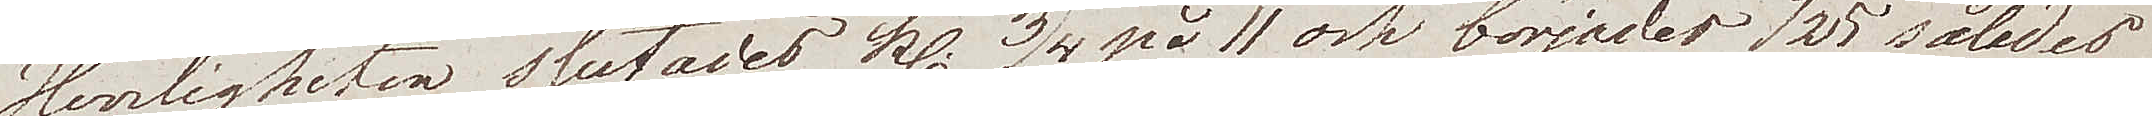Herligheten slutades kl. 3/4 på 11 och börjades 7 25 således.
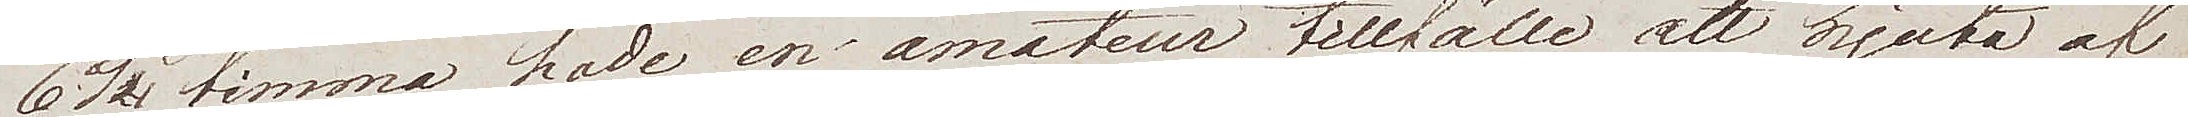6 1/2 timma hade en amateur tillfälle att njuta af
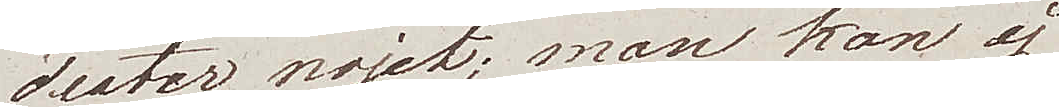Teater nöjet; man kan ej 
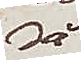så
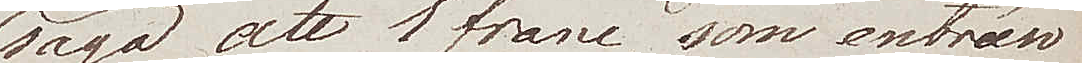säga att 1 franc som entrén
